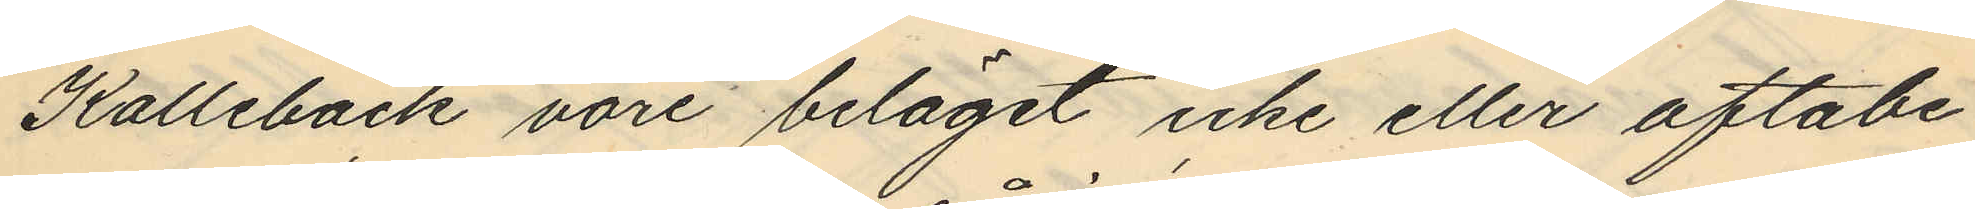Kallebäck vore beläget icke eller oftabe¬
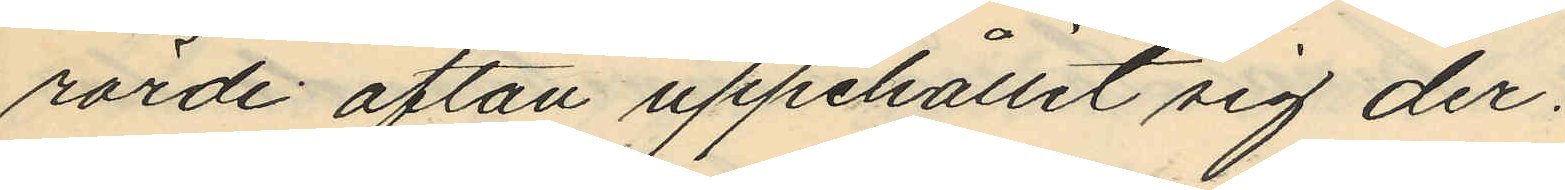rörde afton uppehållit sig der.
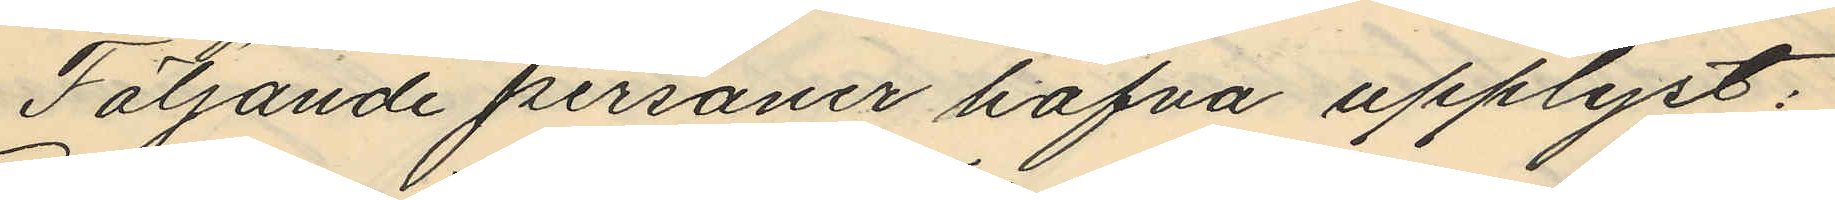Följande personer hafva upplyst:
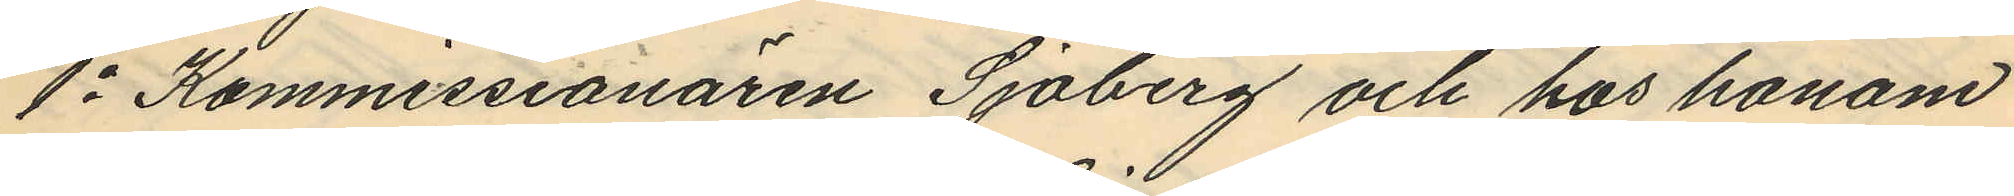1o Kommissionären Sjöberg och hos honom
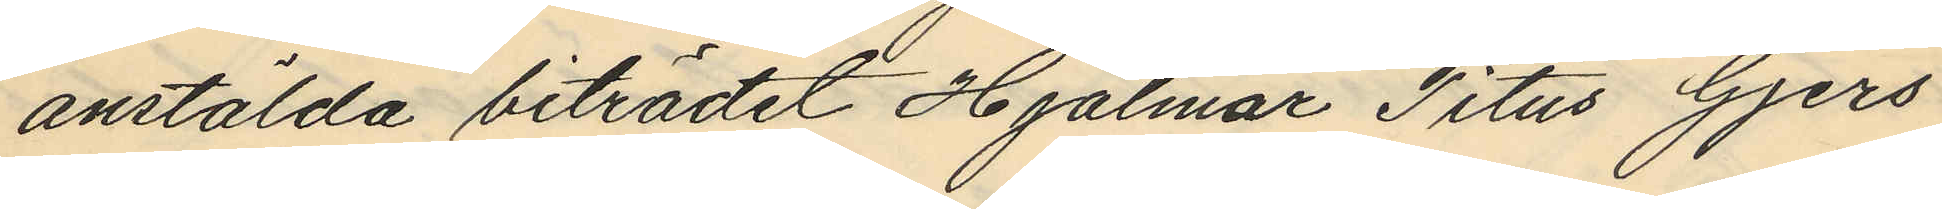anstälda biträdet Hjalmar Titus Gjers
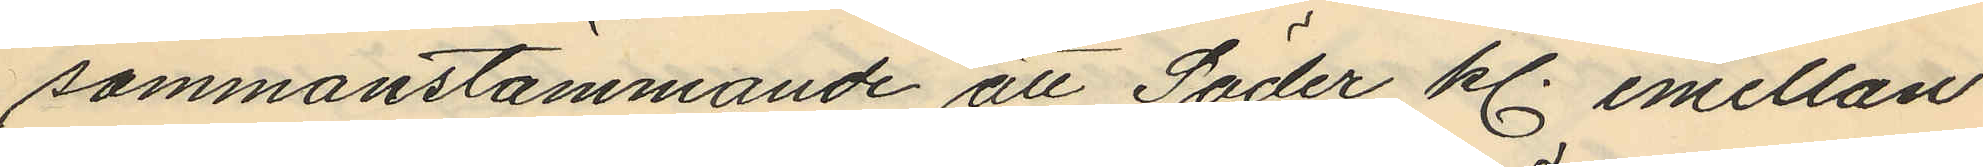sammanstämmande att Söder kl. emellan
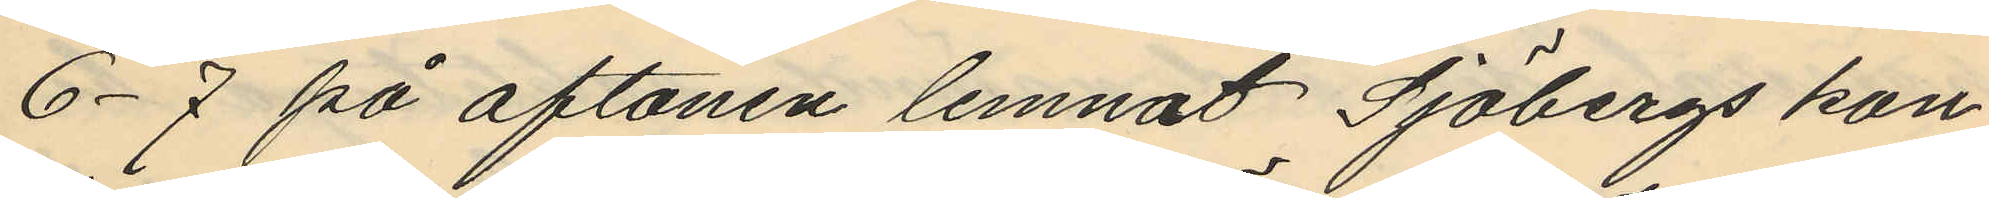6-7 på aftonen lemnat Sjöbergs kon¬
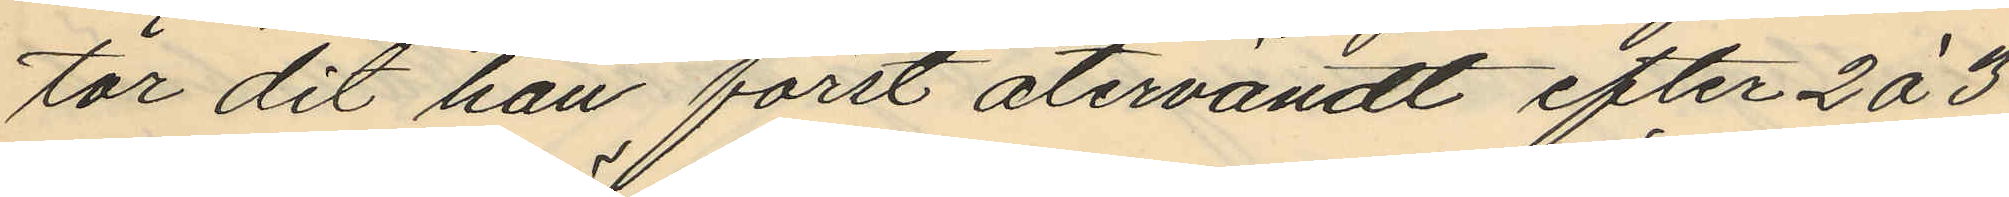tor dit han först återvändt efter 2 á 3
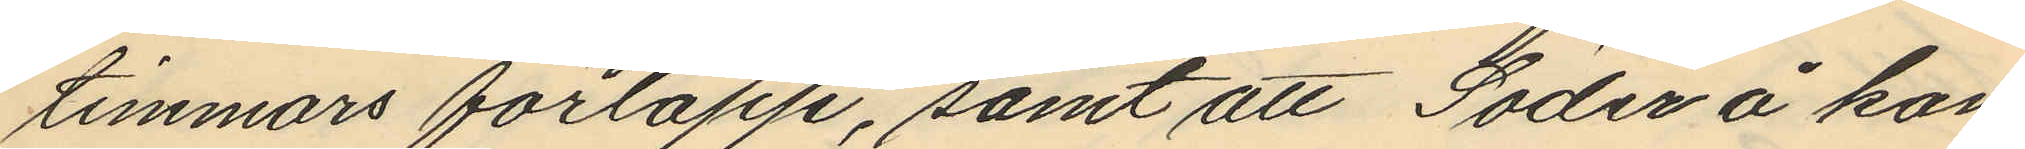timmars förlopp, samt att Söder å kon
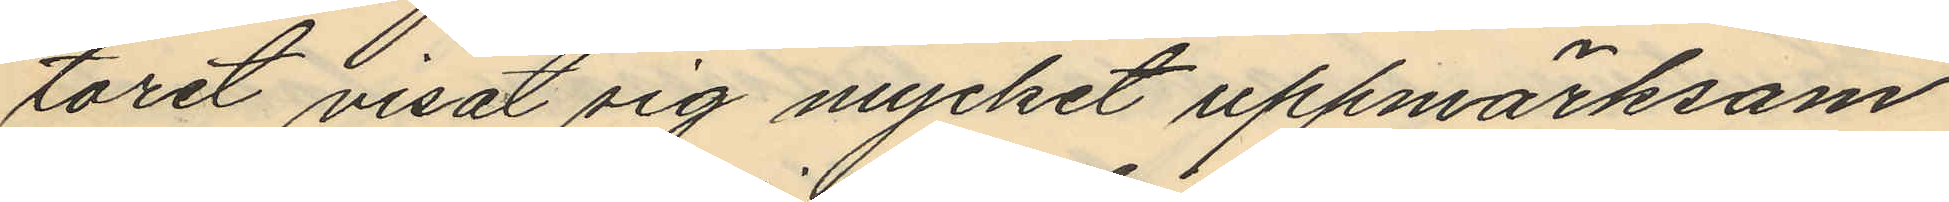toret visat sig mycket uppmärksam
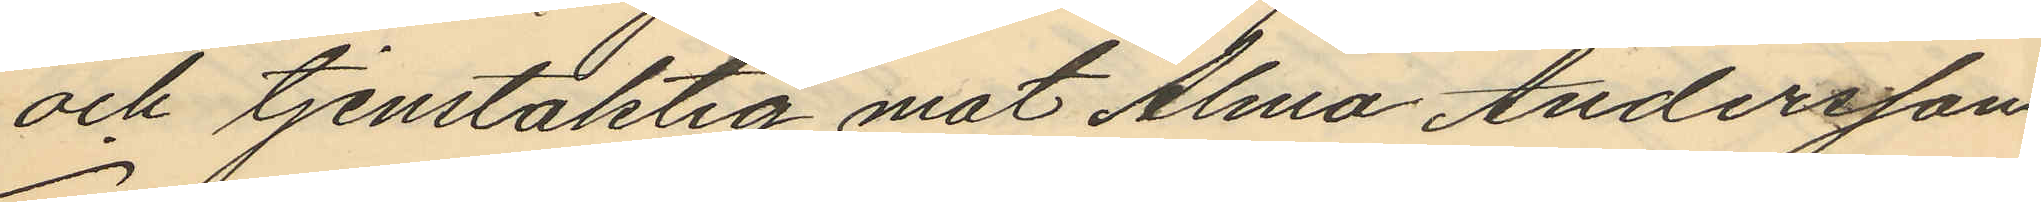och tjenstaktig mot Alma Andersson
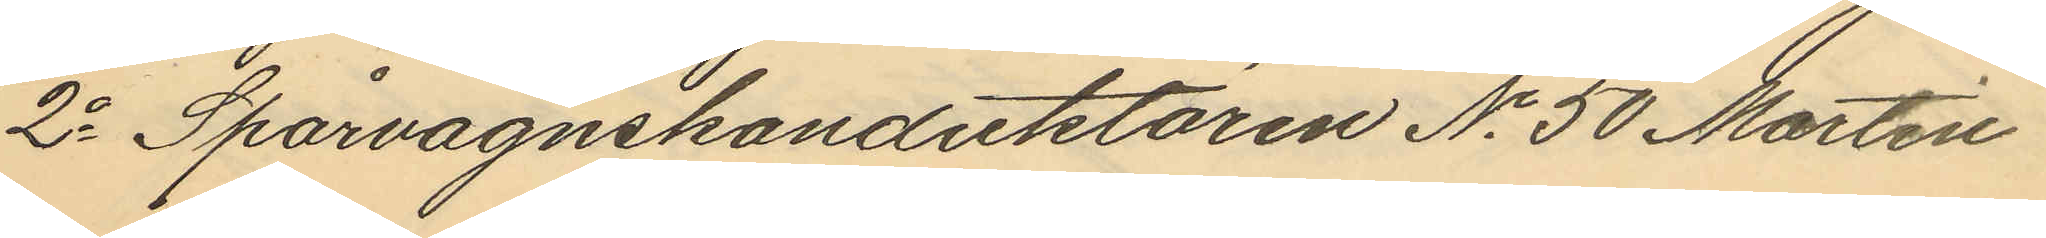2o Spårvagnskonduktören No 50 Martin
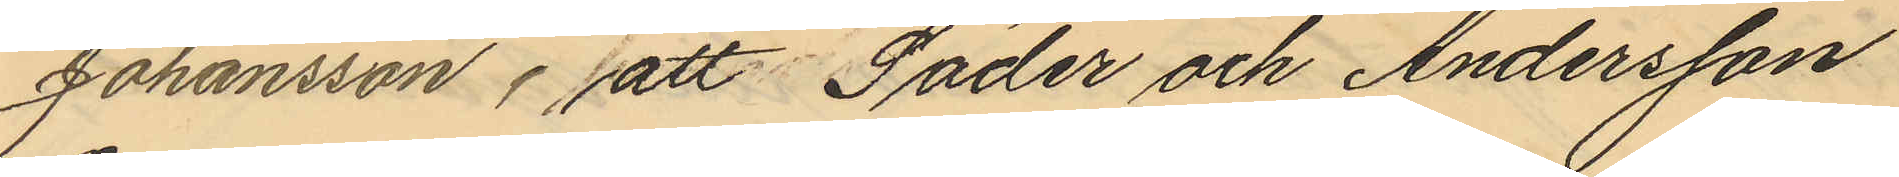Johansson, att Söder och Andersson
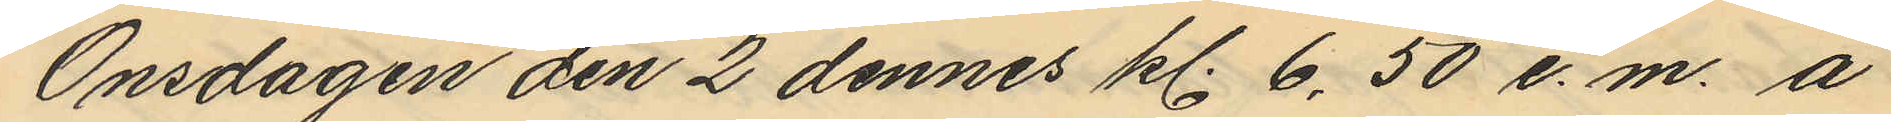Onsdagen den 2 dennes kl. 6.,50 e.m. å
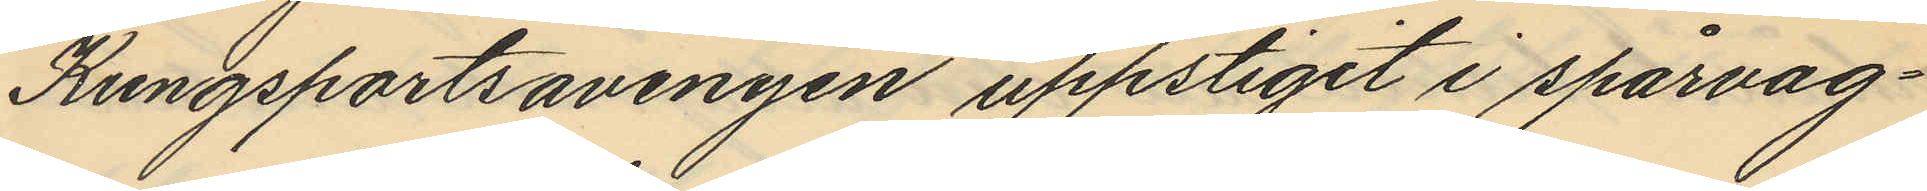Kungsportsavenyen uppstigit i spårvag¬
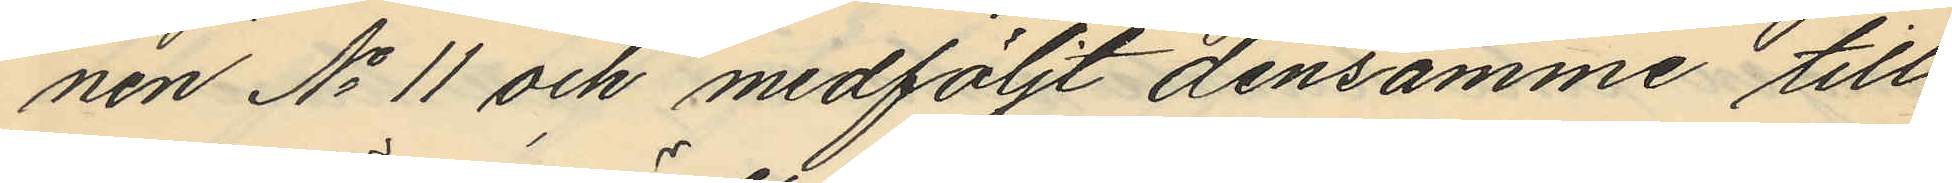nen No 11 och medföljt densamme till
